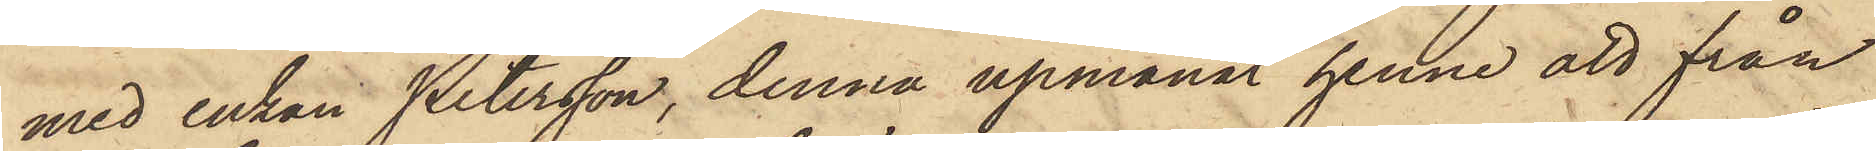med enkan Petersson, denna upmanat henne att från
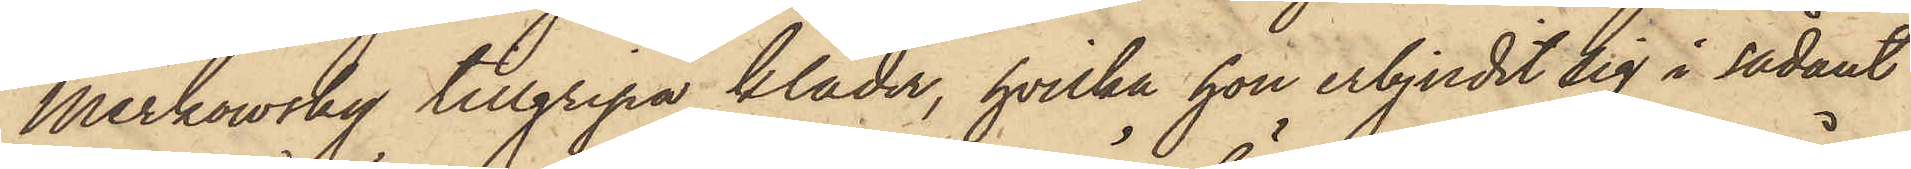Merkowsky tillgripa kläder, hvilka hon erbjudit sig i sådant
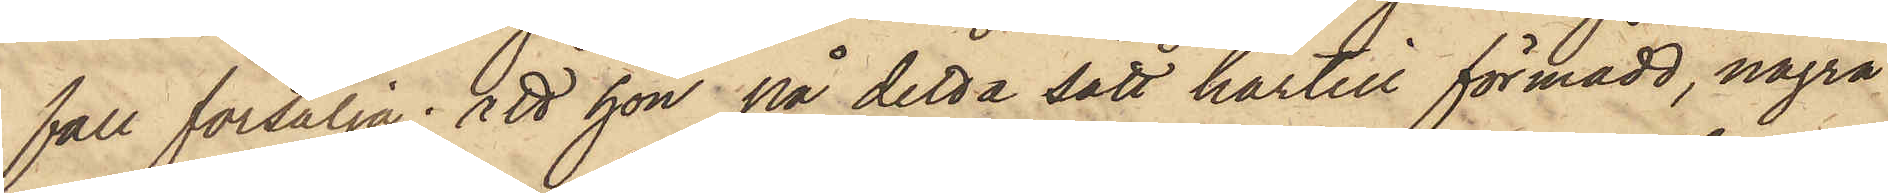fall försälja; att hon på detta sätt härtill förmådd, några
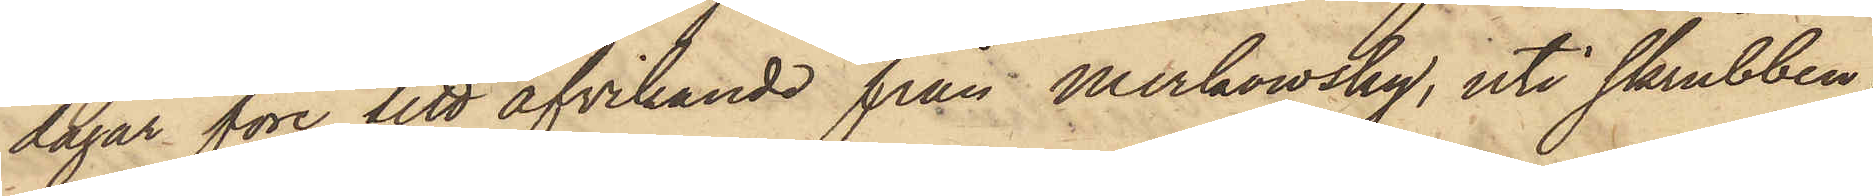dagar före sitt afvikande från Merkowsky, uti skrubben
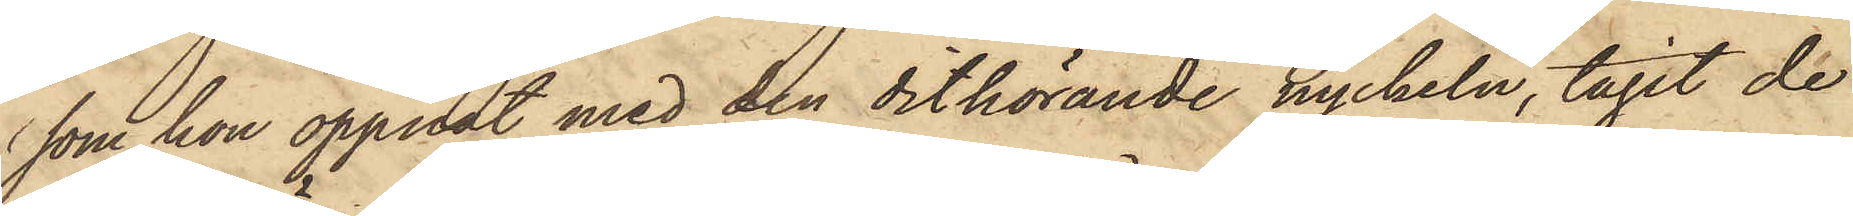som hon öppnat med den dithörande nyckeln, tagit de
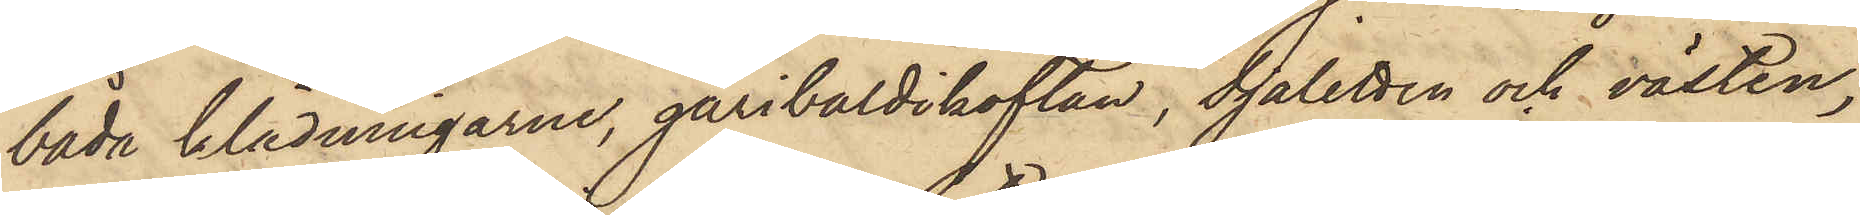båda klädningarne, garibaldikoftan, Sjaletten och västen,
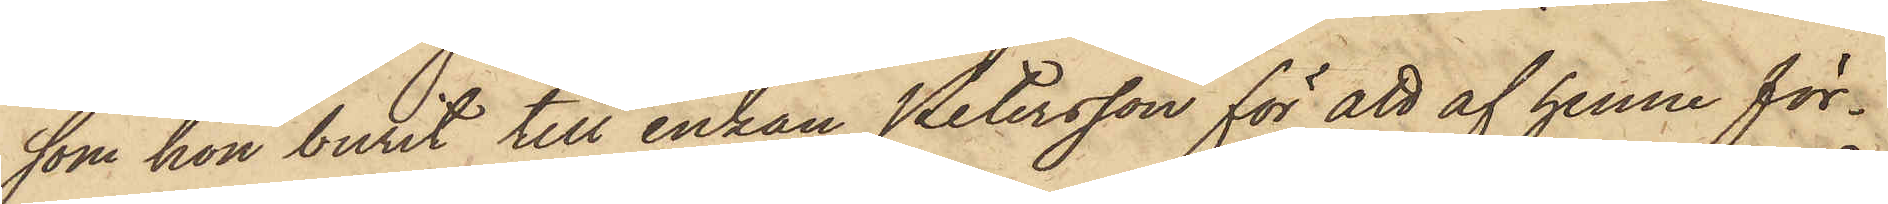som hon burit till enkan Petersson för att af henne för¬
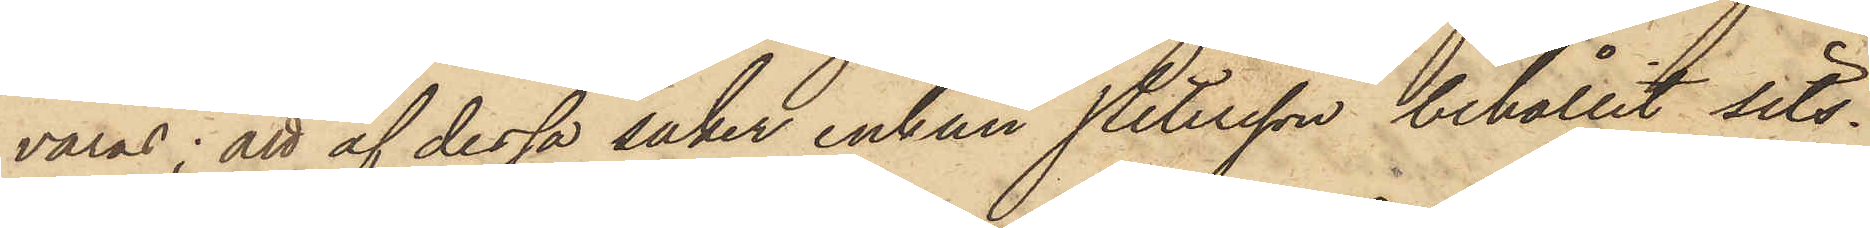varas; att af dessa saker enkan Petersson behållit sits¬
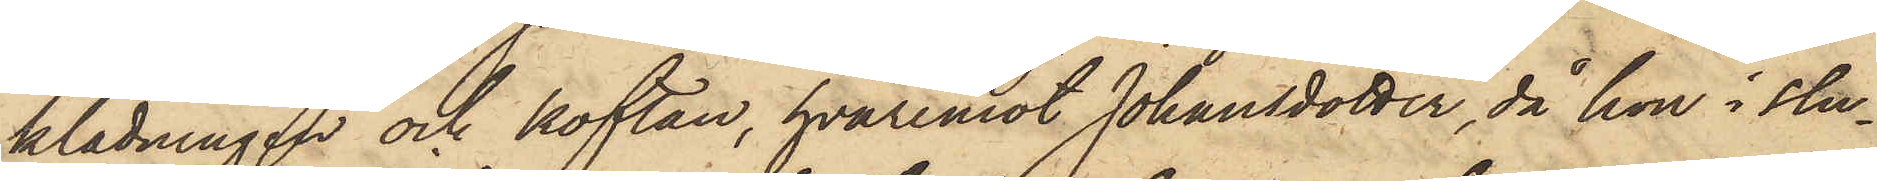klädningen och koftan, hvaremot Johansdotter, då hon i slu¬
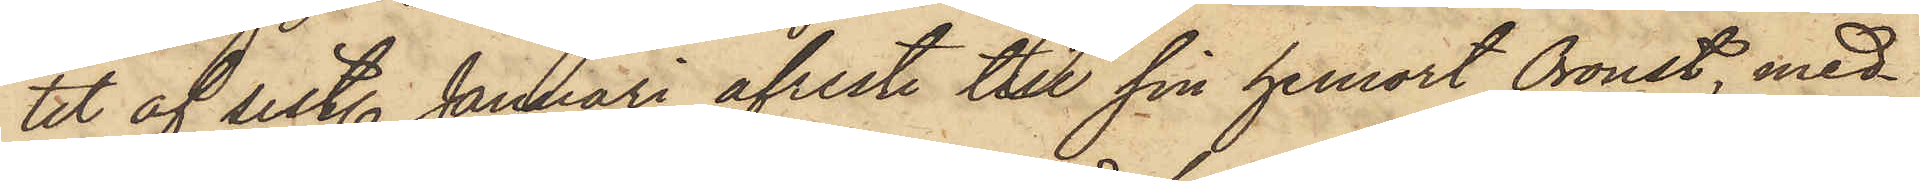tet af sist. Januari afreste till sin hemort Oroust, med¬
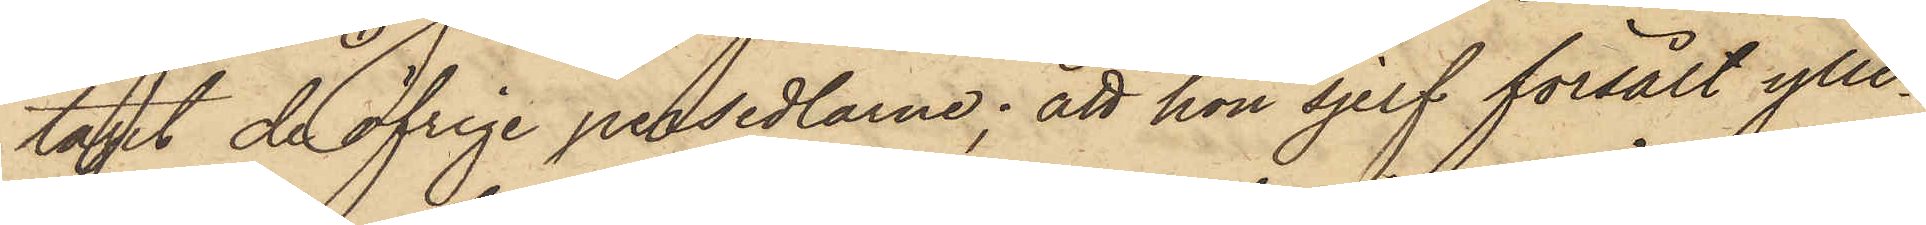tagit de öfrige persedlarne; att hon sjelf försålt ylle¬
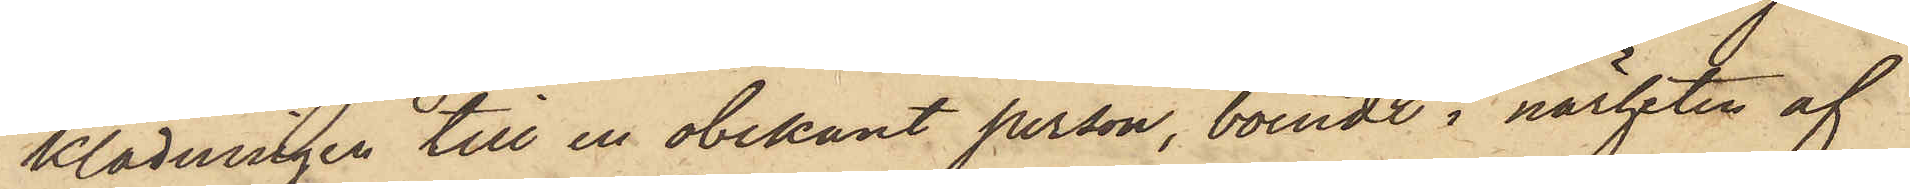klädningen till en obekant person, boende i närheten af
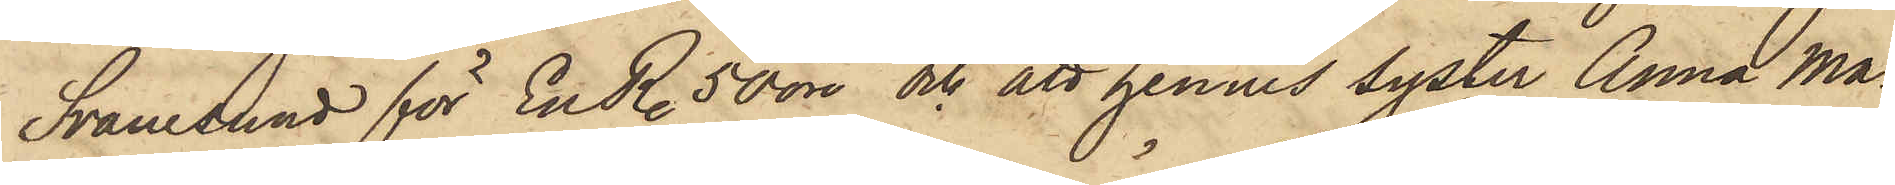Svanesund för En R. 50 öre och att hennes syster Anna Ma¬
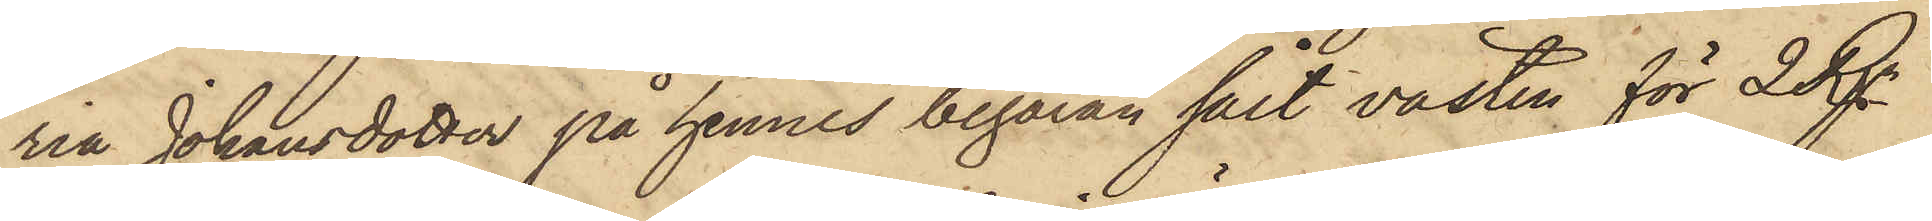ria Johansdotter på hennes begäran sålt västen för 2 Rgr
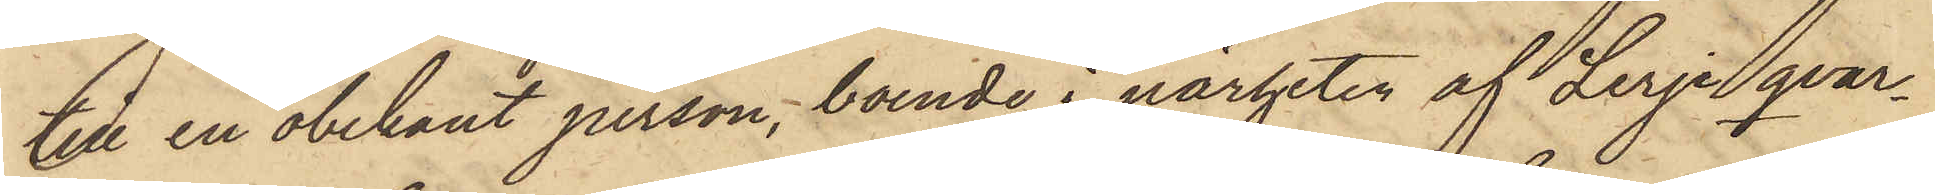till en obekant person, boende i närheten af Lerje qvar¬
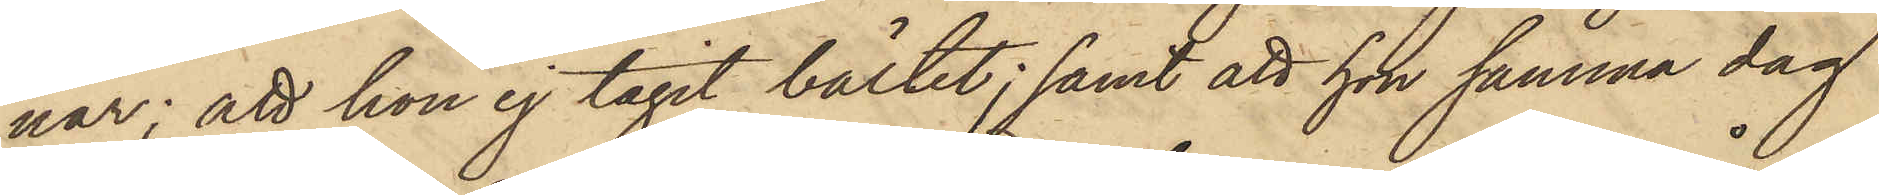nar; att hon ej tagit bältet; samt att hon samma dag
